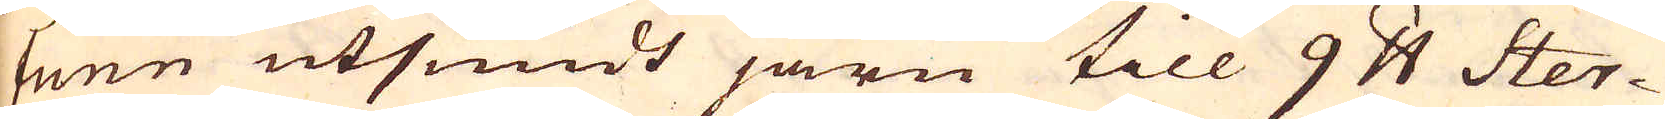tunn utsmidt järn till 9 pund Ster-
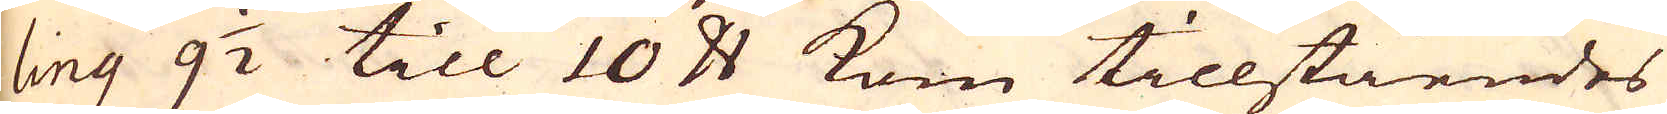ling 9 1/2 till 10 pund kom tillståendes
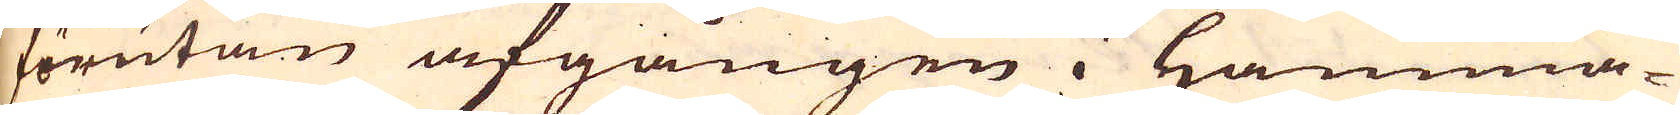förutan afgången i Hamma-
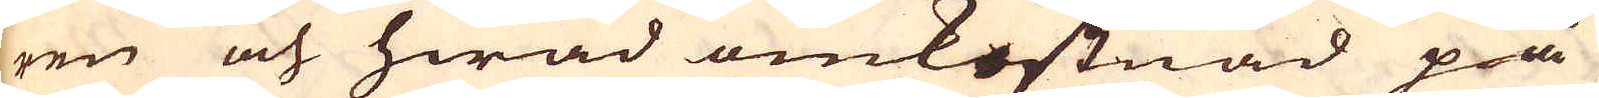ren och hwad omkostnad på
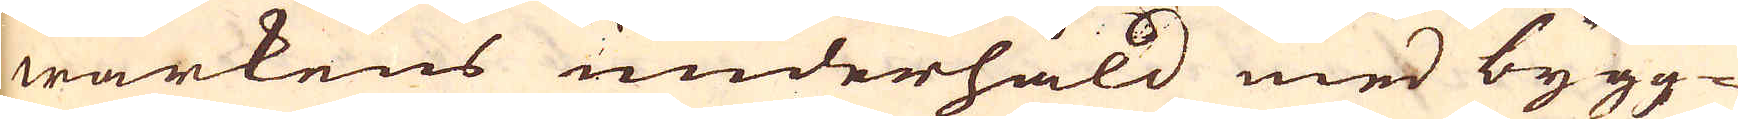wärkens underhåld med bygg-
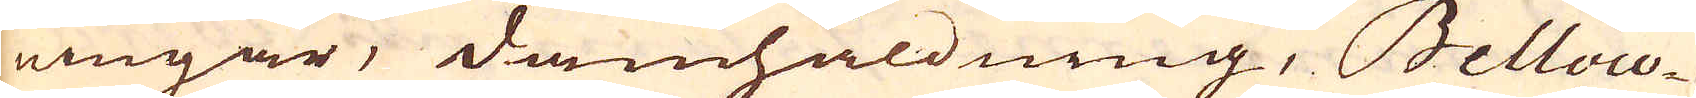ningar, damhåldning, Bellow-
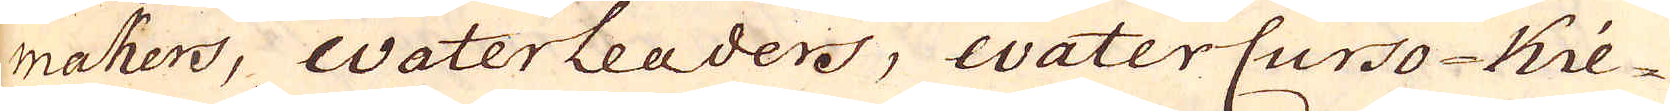makers, Waterleaders, waterCurso-Kie-
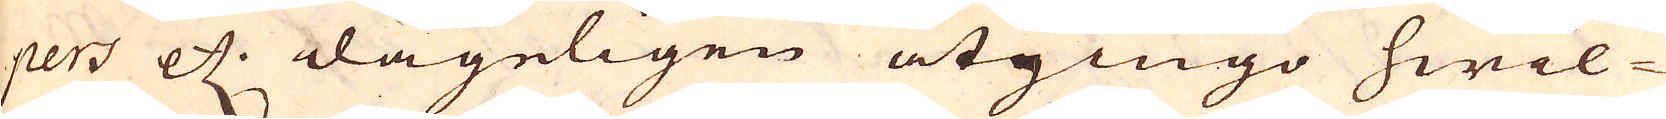pers etc. dageligen åtgingo hwil-
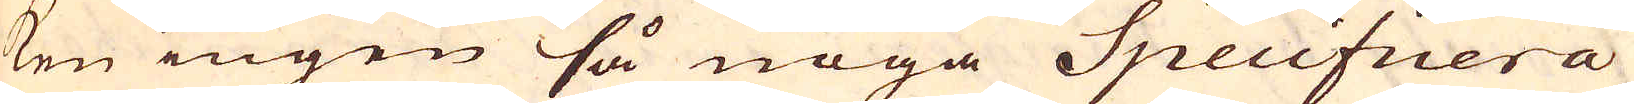ken ingen så noga Specifiiera
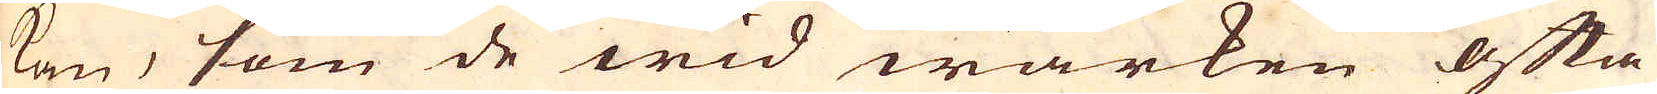kan, som de wid warken ofta
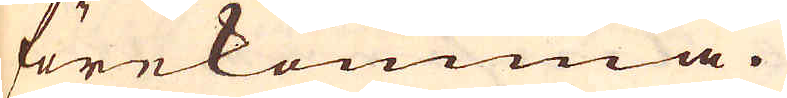förekomma.
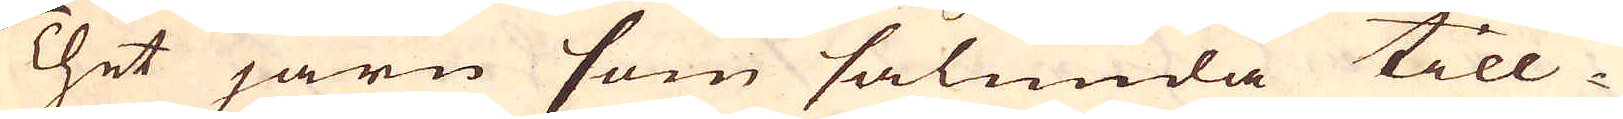Thet järn som sålunda till-
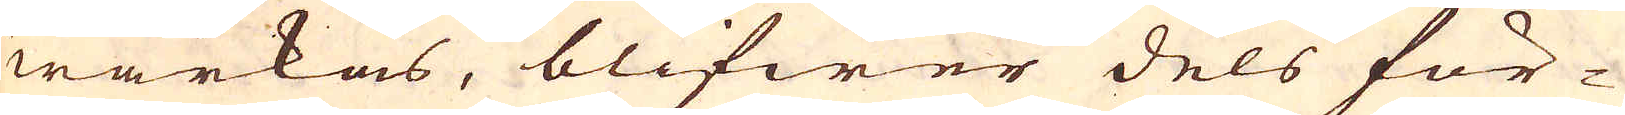wärkas, blifwer dels för-
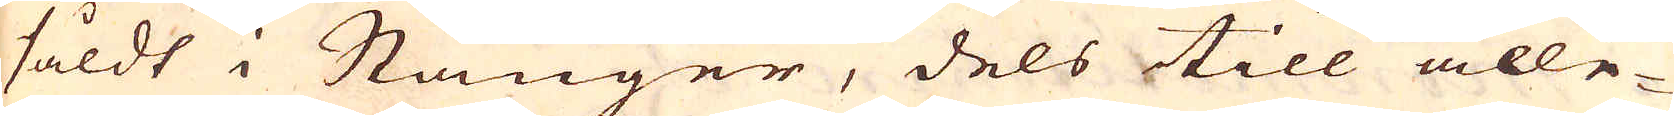såldt i Stänger, dels till alle-
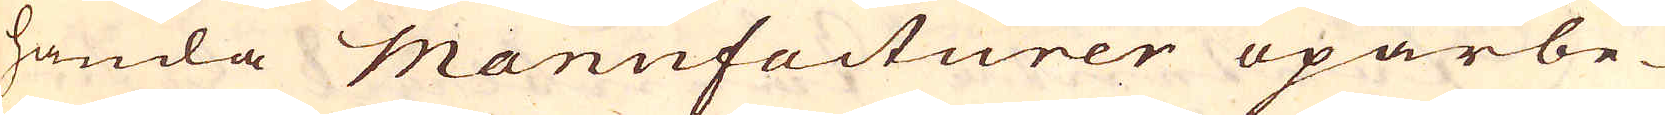handa Manufacturer oparbe-
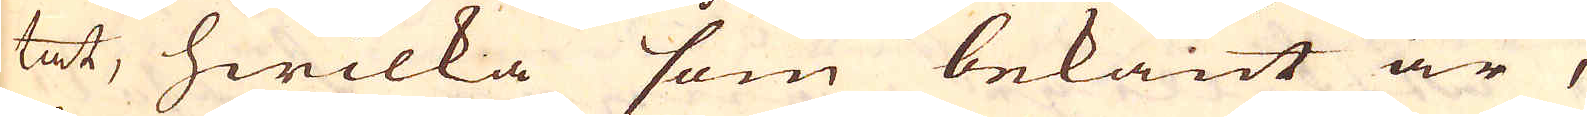tat, hwilka som bekant är,
